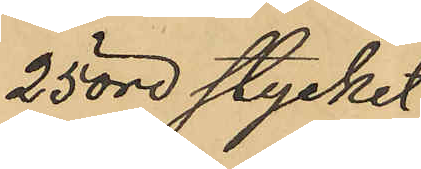25 öre stycket
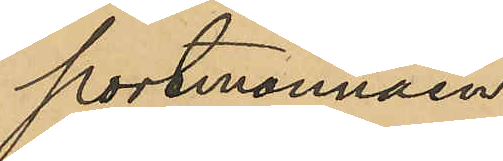portmonnäen.
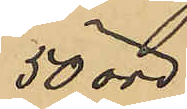50 öre
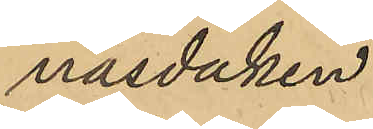näsduken
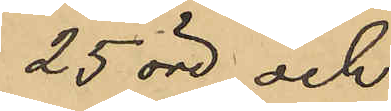25 öre och
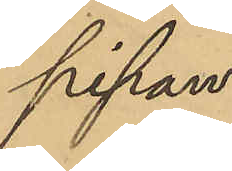pipan.
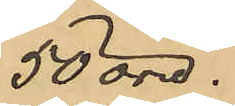50 öre.
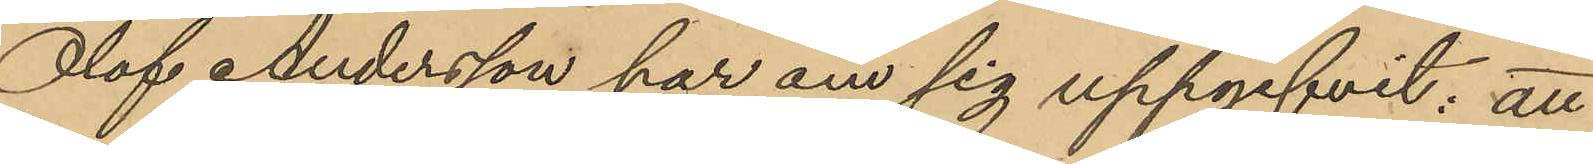Olof Andersson har om sig uppgifvit; att
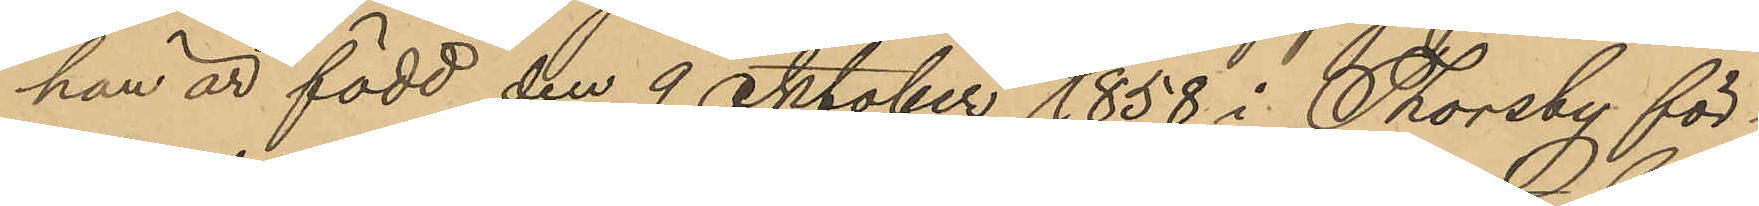han är född den 9 Oktober 1858 i Thorsby för¬
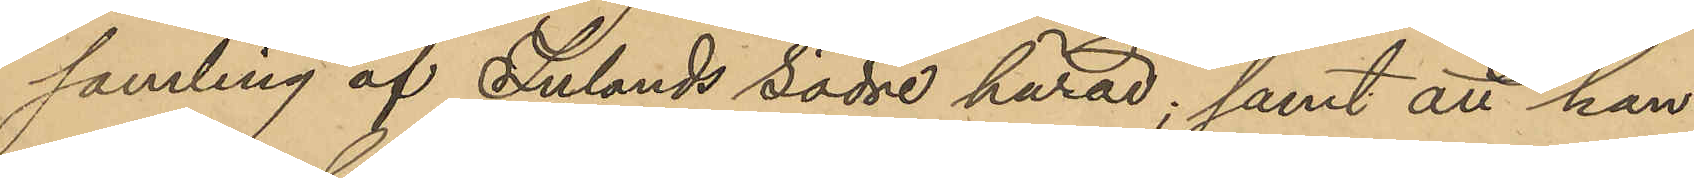samling af Inlands södre härad; samt att han
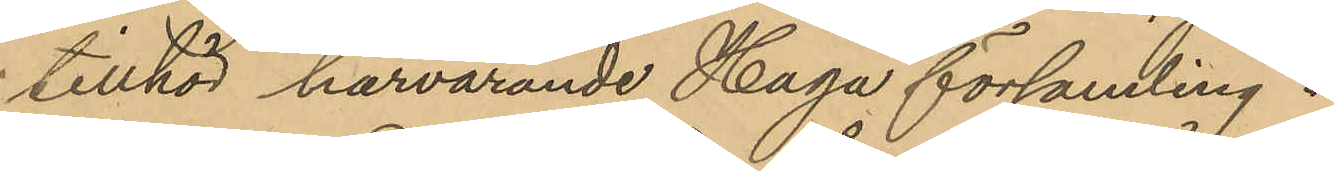tillhör härvarande Haga församling.
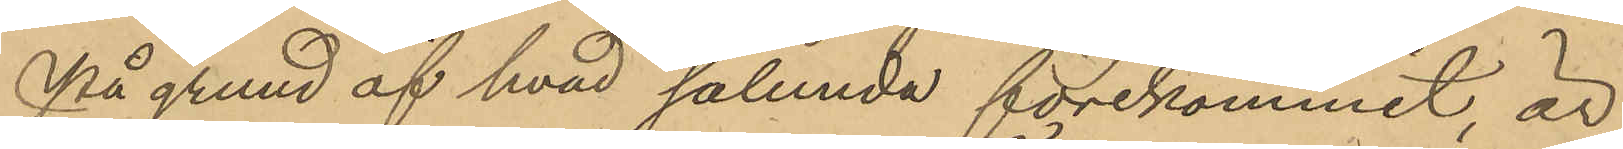På grund af hvad sålunda förekommit, är
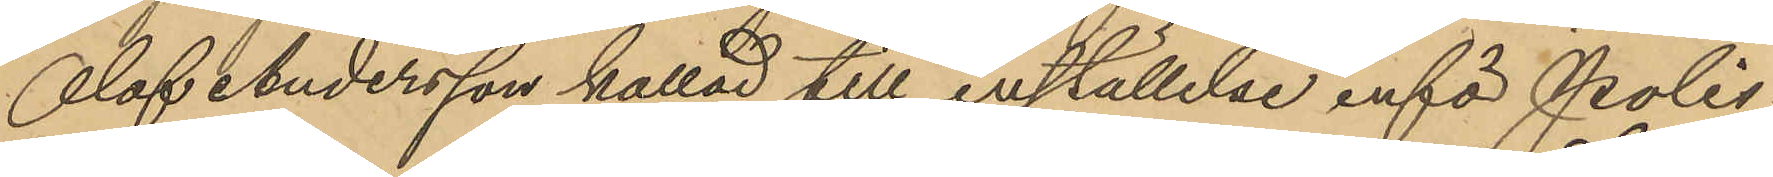Olof Andersson kallad till inställelse inför Polis¬
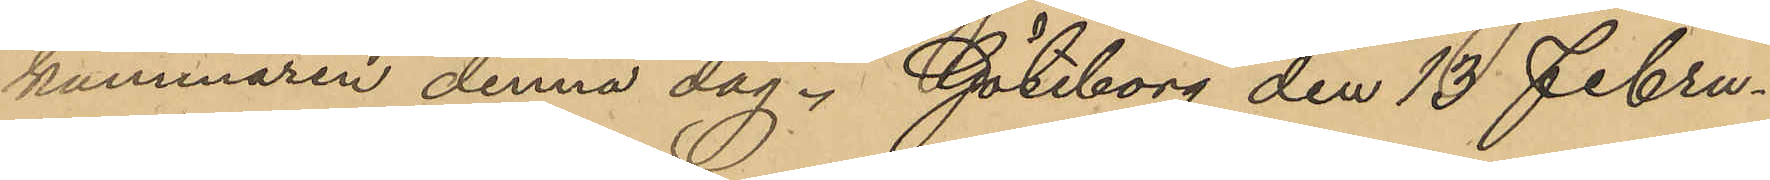kammaren denna dag. Göteborg den 13 Febru¬
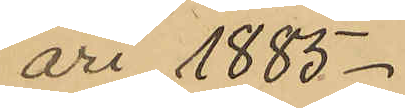ari 1885.
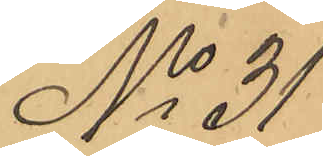No 31
